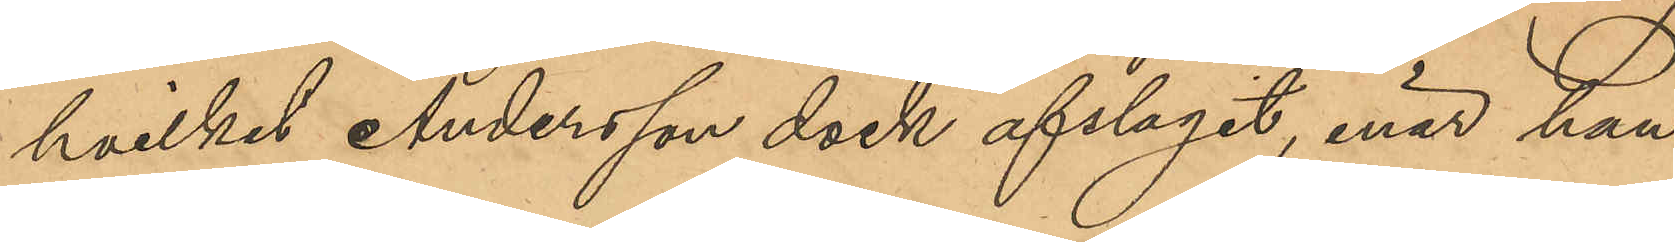hvilket Andersson dock afslagit, enär han
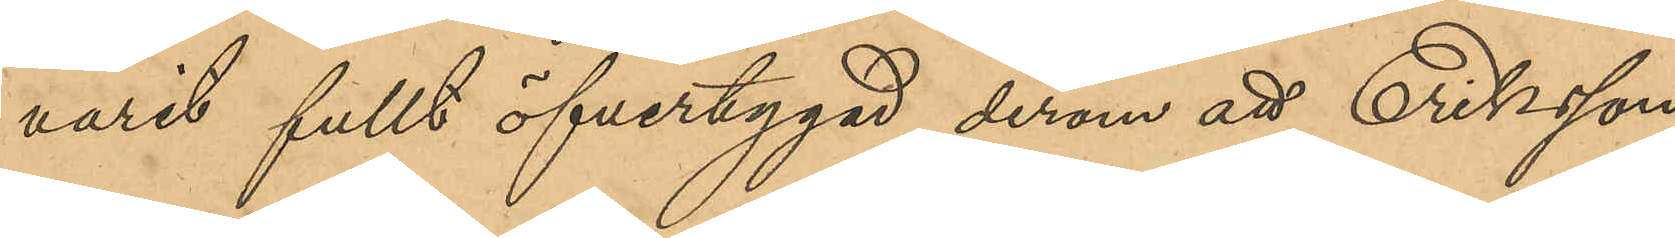varit fullt öfvertygad derom att Eriksson
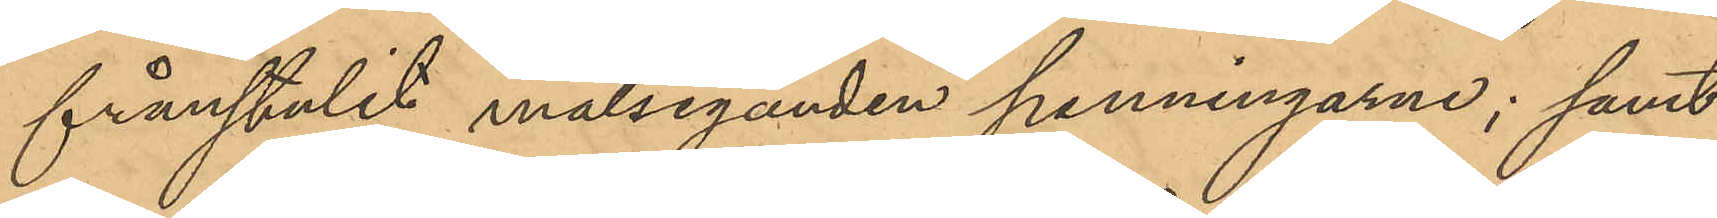frånstulit målseganden penningarne; samt
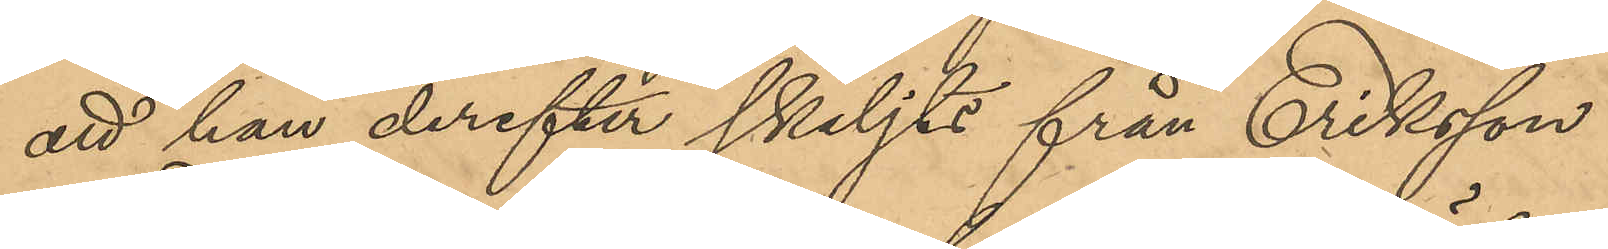att han derefter skiljts från Eriksson.
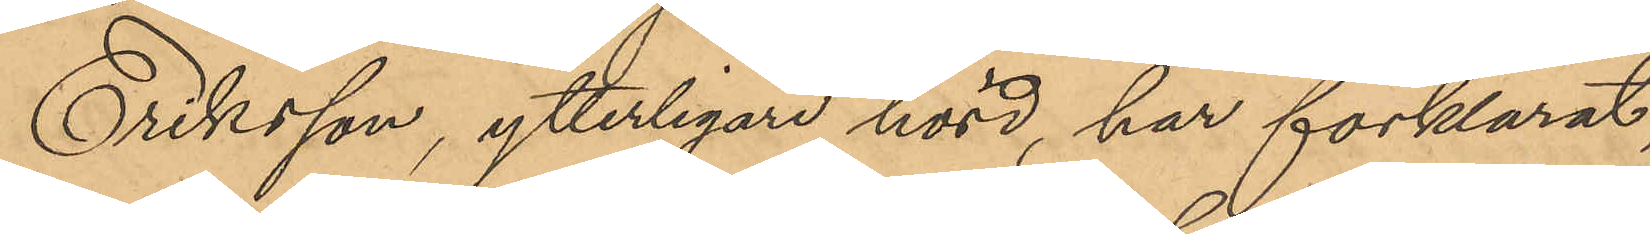Eriksson ytterligare hörd, har förklarat,
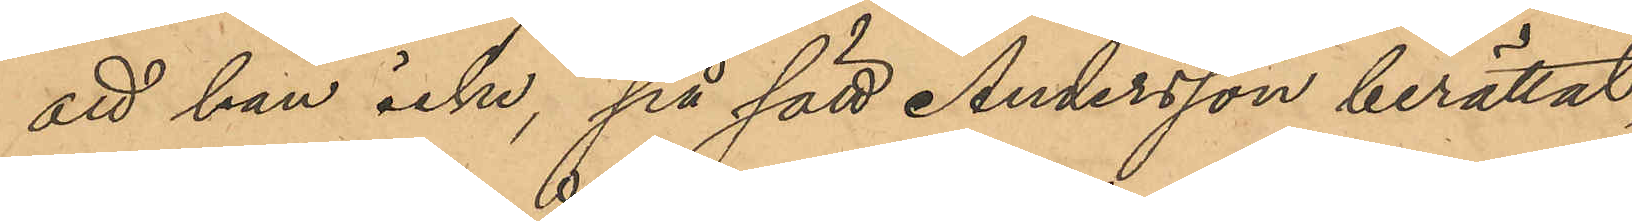att han icke, på sätt Andersson berättat,
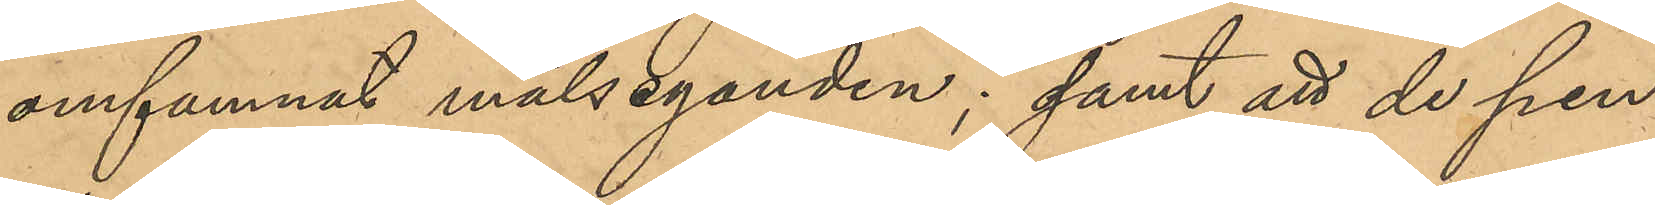omfamnat målseganden; samt att de pen¬
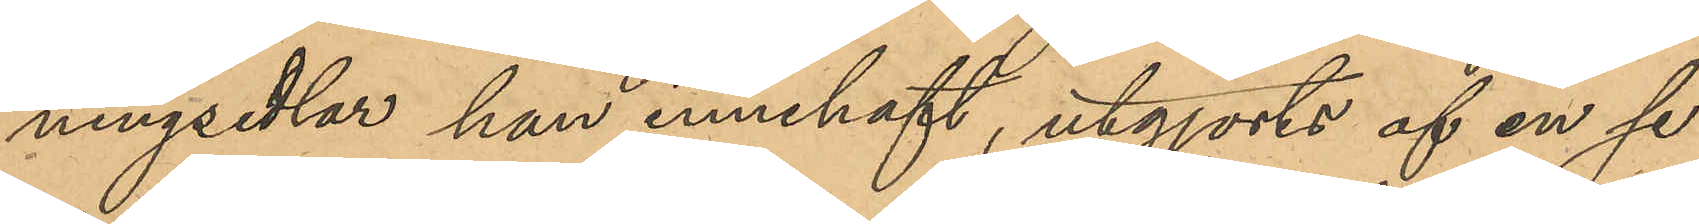ningsedlar han innehaft, utgjorts af en se¬
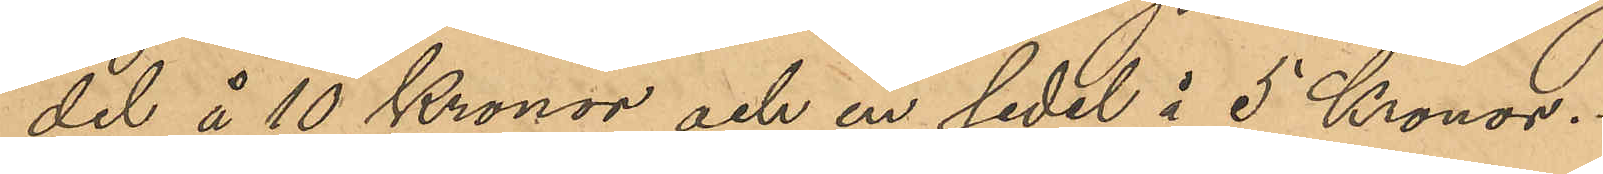del å 10 Kronor och en sedel å 5 Kronor.
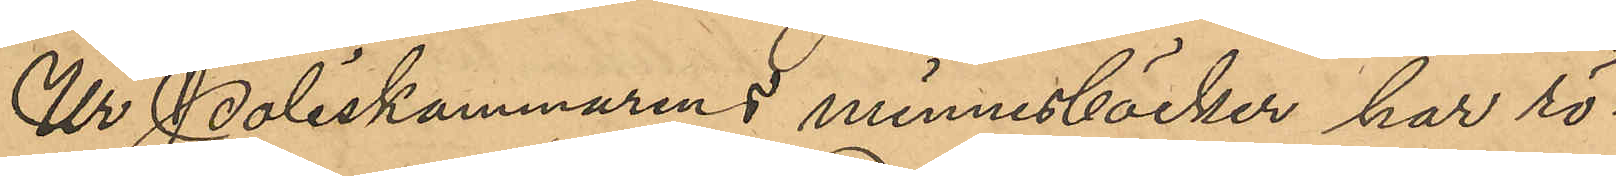Ur Poliskammarens minnesböcker har rö¬
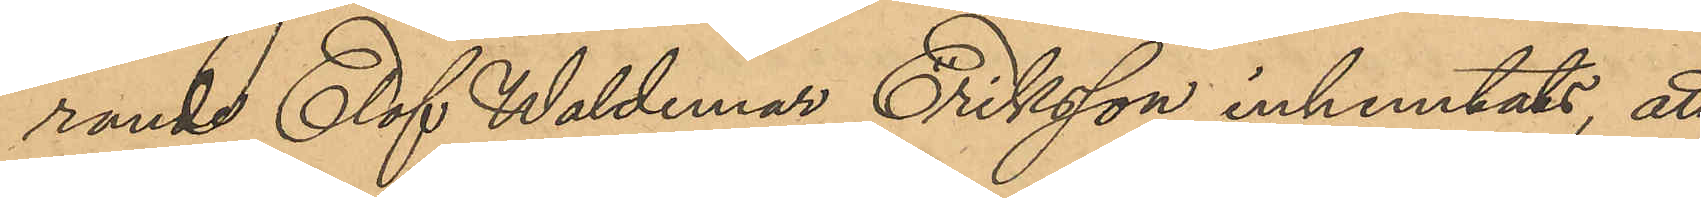rande Elof Waldemar Eriksson inhemtats, att
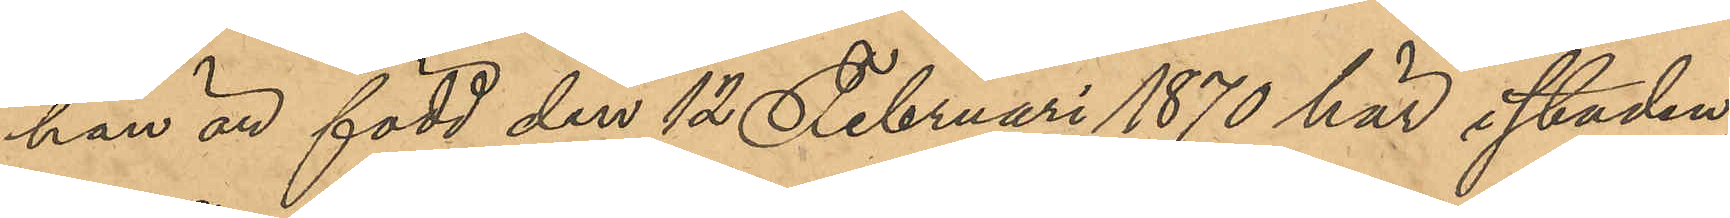han är född den 12 Februari 1870 här i staden;
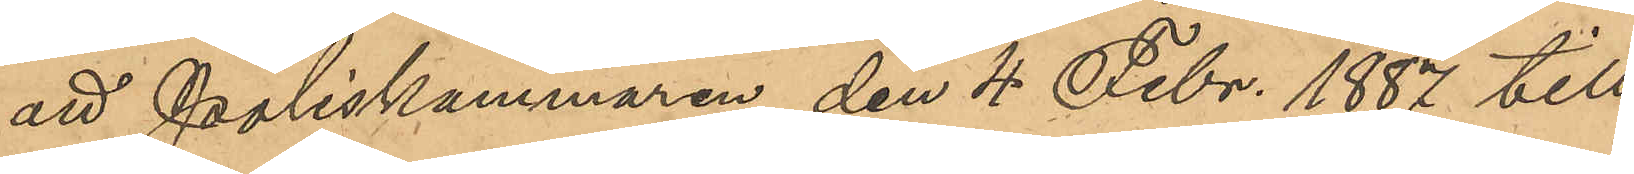att Poliskammaren den 4 Febr. 1887 till
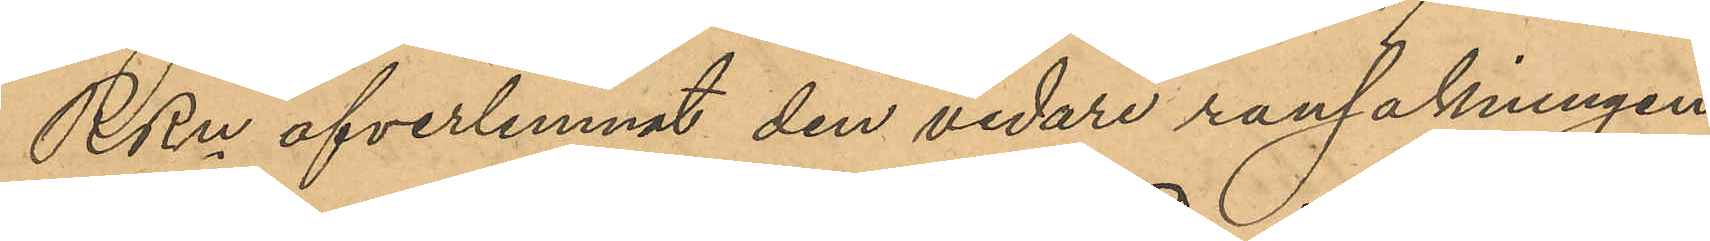RRn öfverlemnat den vidare ransakningen
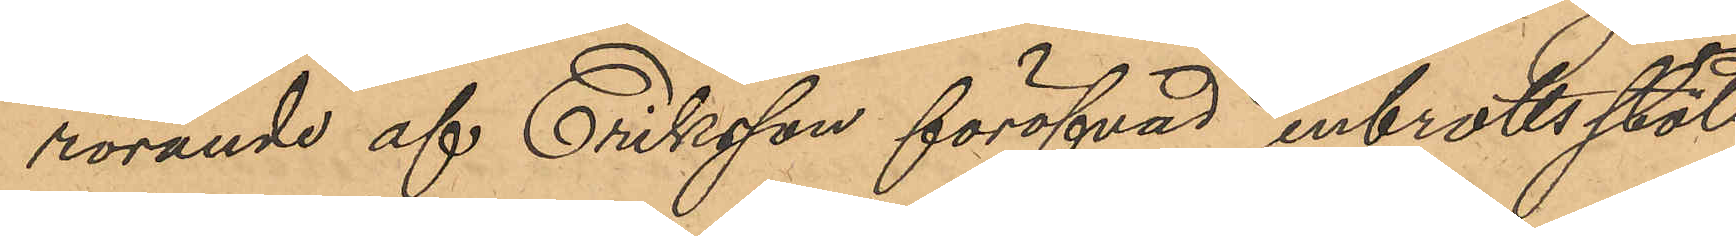rörande af Eriksson föröfvad inbrottsstöld
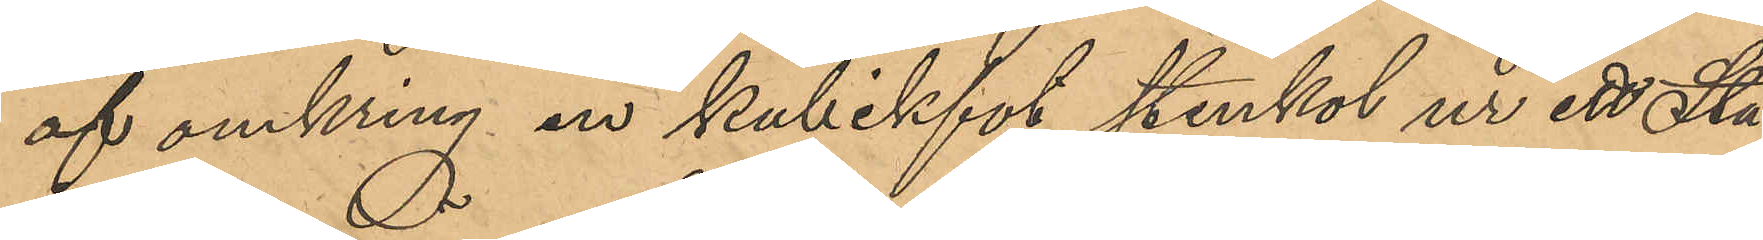af omkring en kubikfot stenkol ur ett Sta¬
